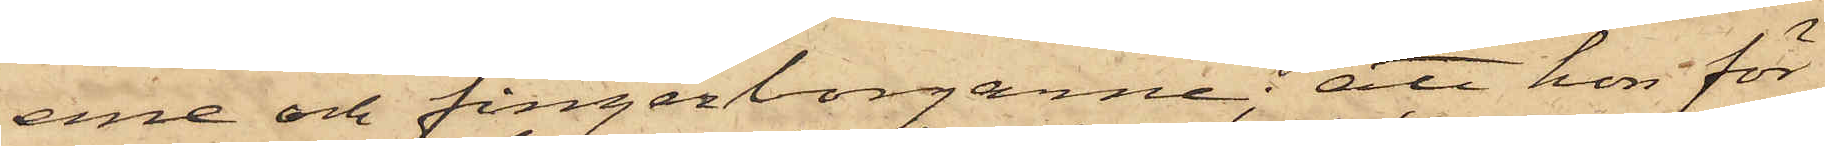erne och fingerborgarne; att hon för
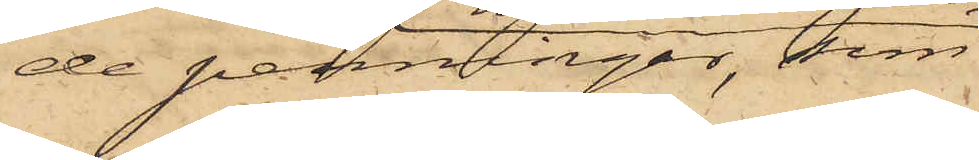de penningar, som
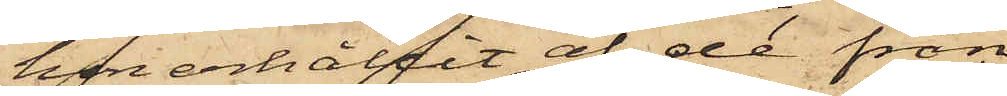hon erhållit af de från
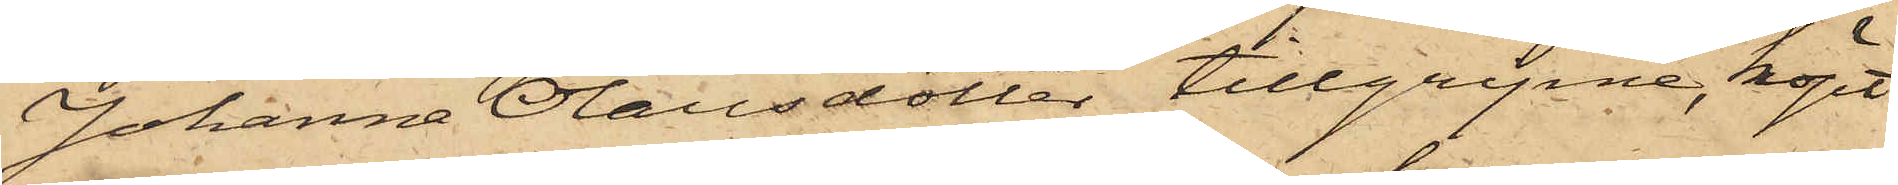Johanna Olausdotter tillgripne, köpt
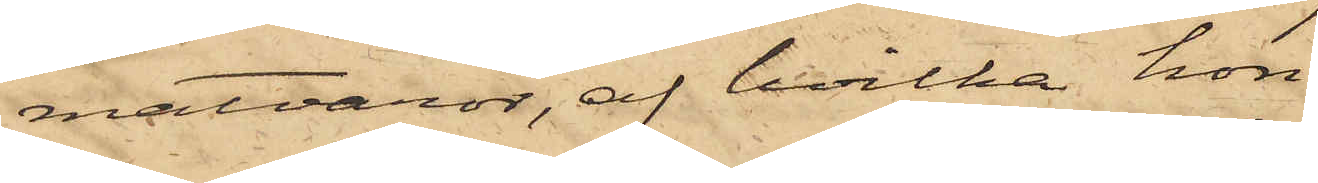matvaror, af hvilka hon
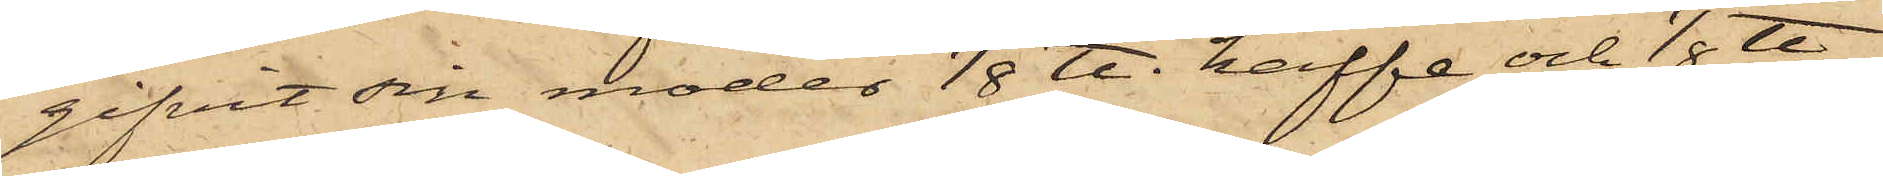gifvit sin moder 1/8 ℔. kaffe och 1/8 ℔.
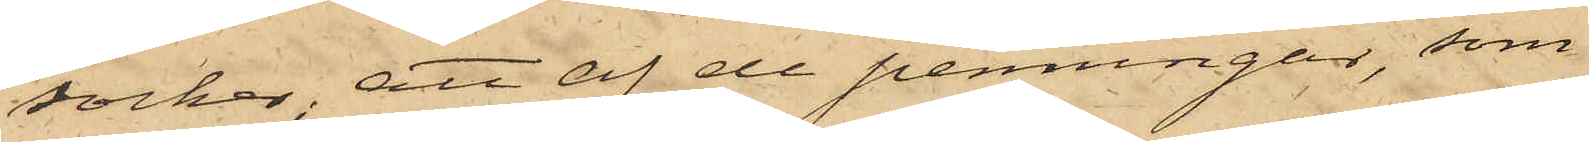socker; att af de penningar, som
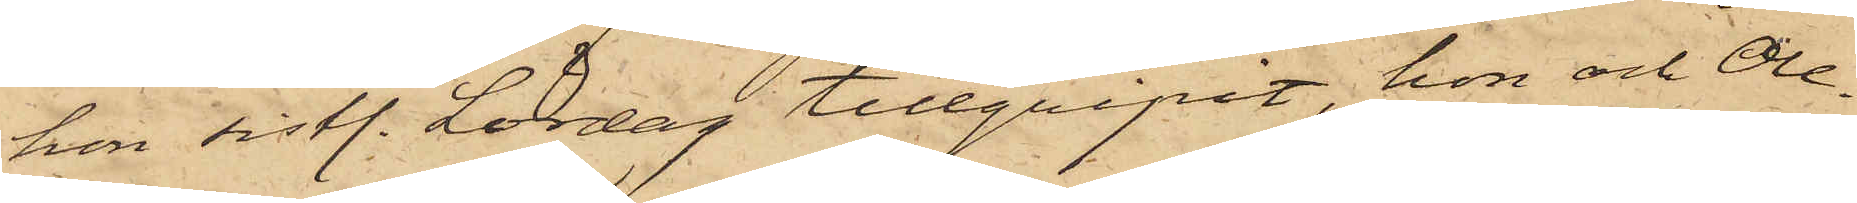hon sistl. Lördag tillgripit, hon och Ole¬
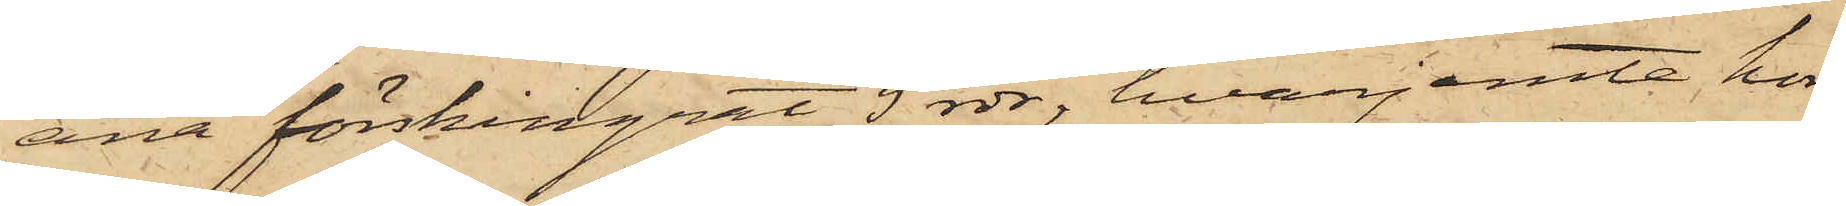ana förskingrat 5 rdr, hvarjemte hon
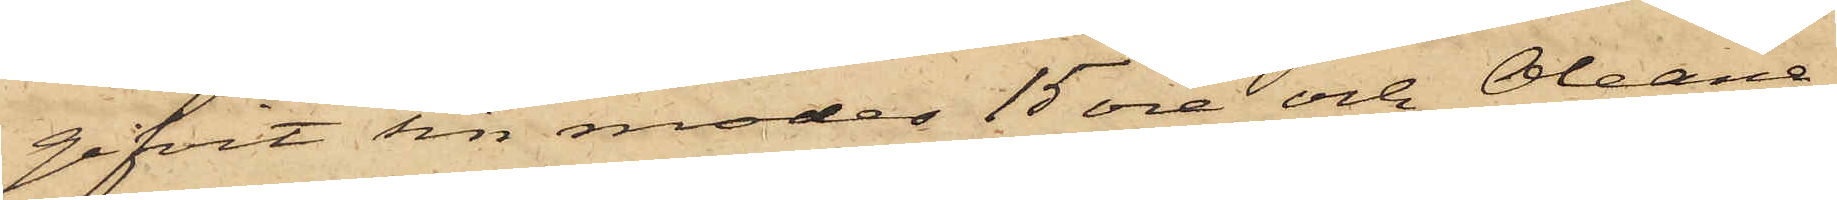gifvit sin moder 15 öre och Oleana
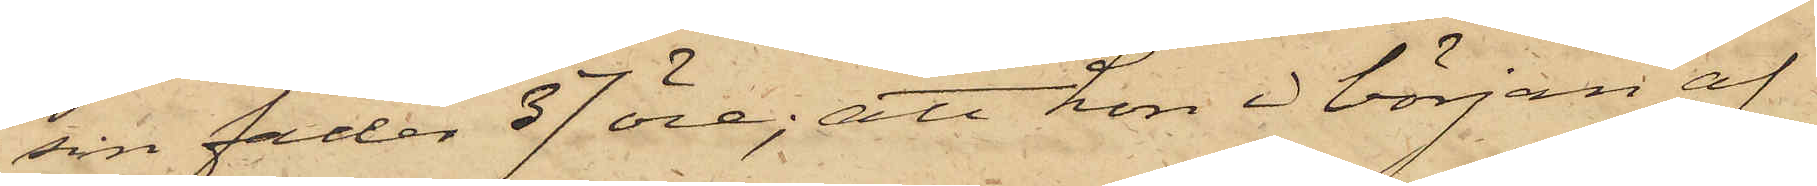sin fader 37 öre; att hon i början af
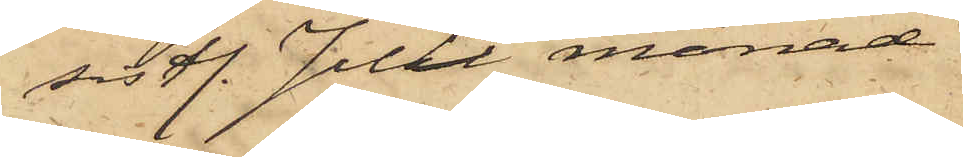sistl. Juli månad
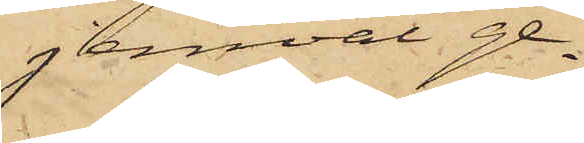jemväl ge¬
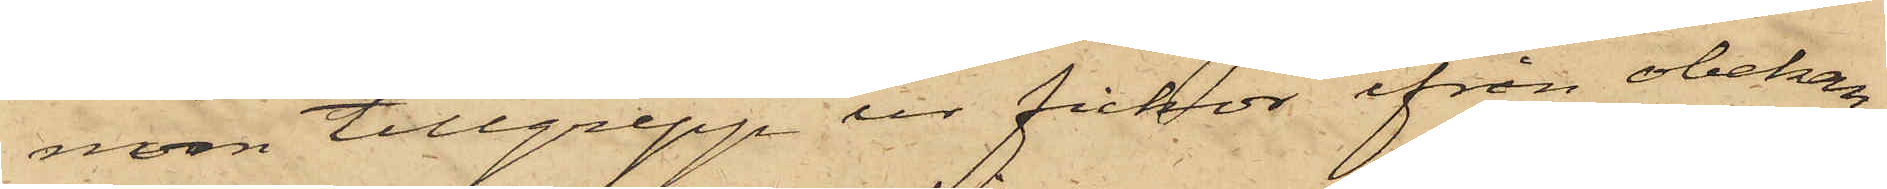nom tillgrepp ur fickor ifrån obekan¬
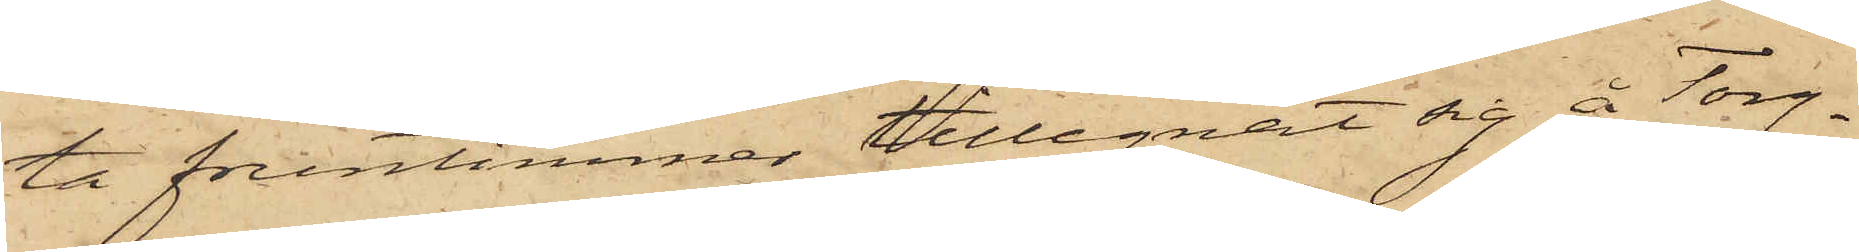ta fruntimmer tillegnat sig å Torg¬
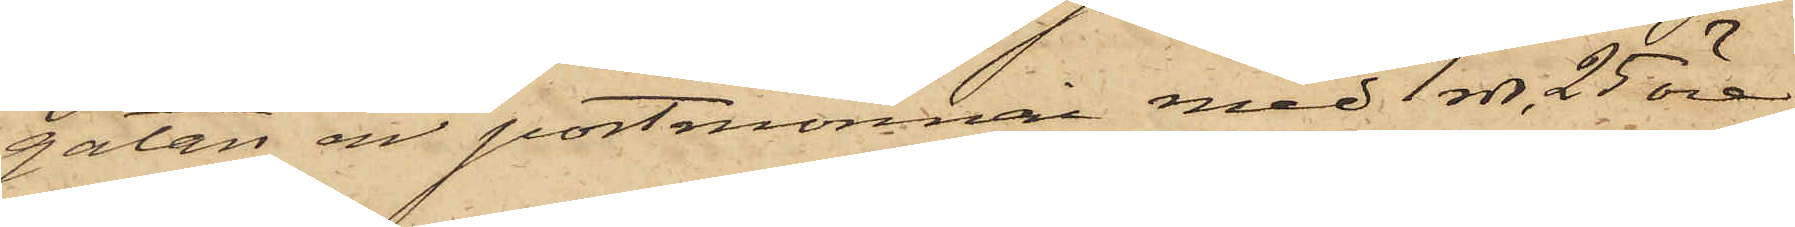gatan en portmonnai med 1 rdr. 25 öre,
